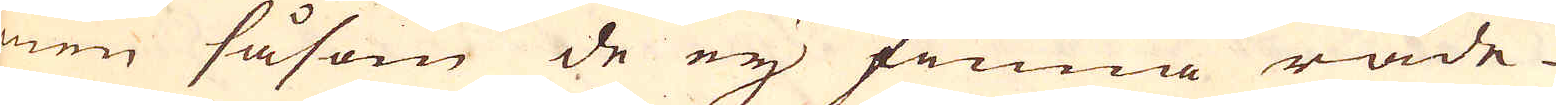men såsom de ey finna råde-
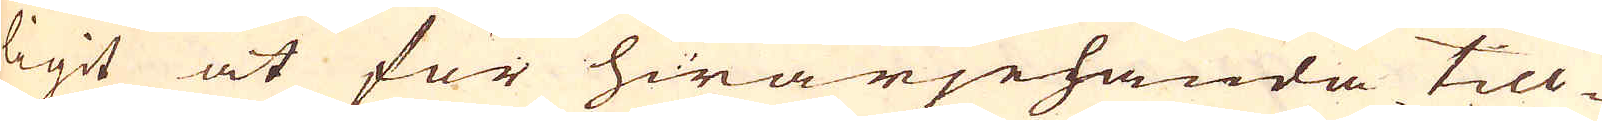ligit at för hwarjehanda till-
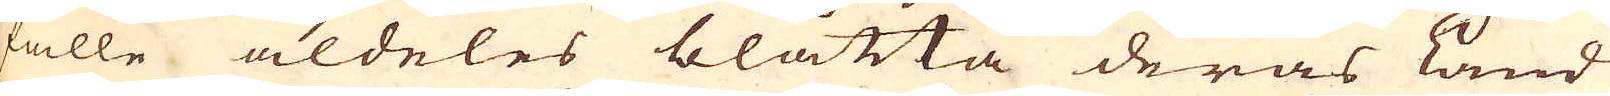fälle aldeles blåtta deras Land
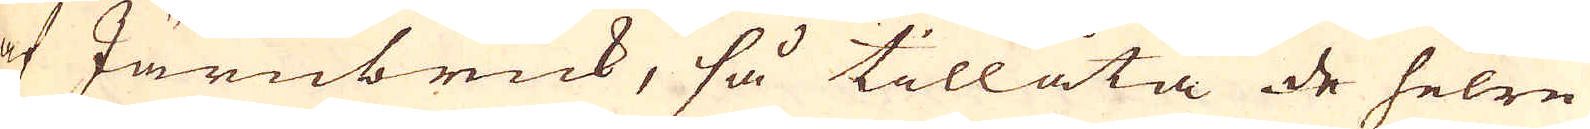af Järnbruk, så tillåta de helre
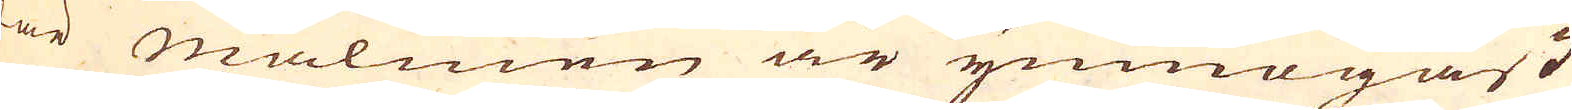där malmen är ymnogast
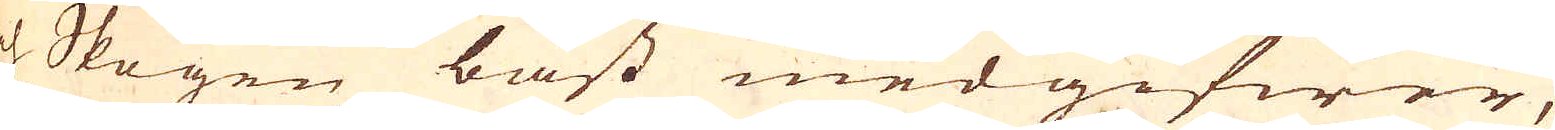och Skogen bäst medgifwer,
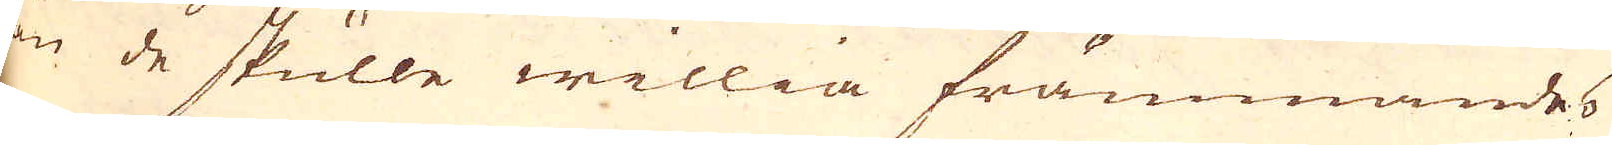än de skulle willia främmandes
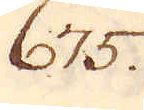675.
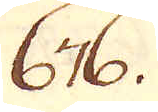676.
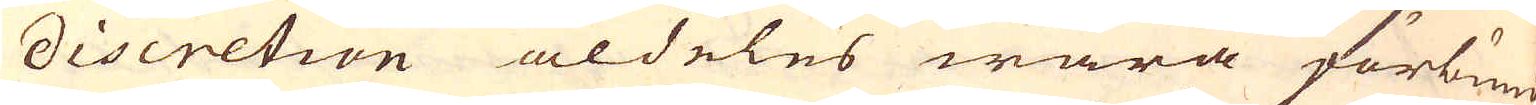discretion aldeles wara förbund-
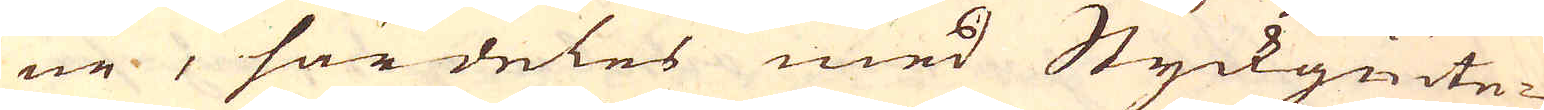ne, särdeles med Styckgiute-
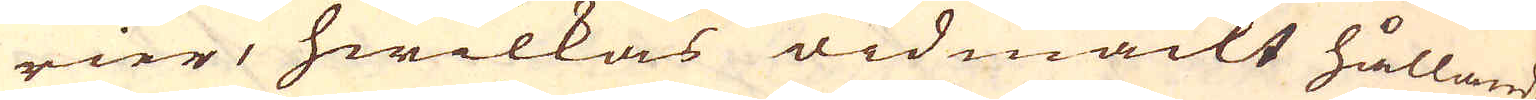rier, hwilkas widmackt hållande
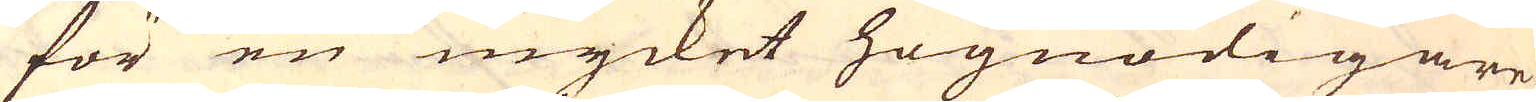för en mycket högnödigare
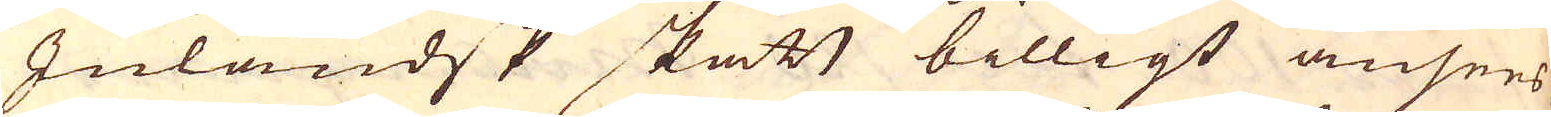Inländsk skatt billigt ansees,
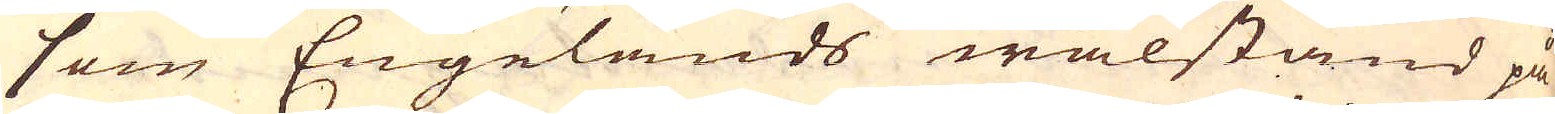som Engelands wälstånd på
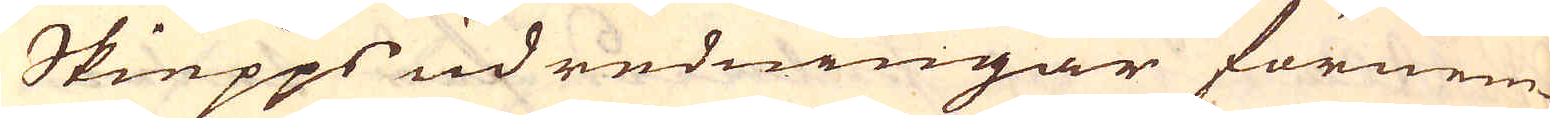Skiepps udredningar förnem-
